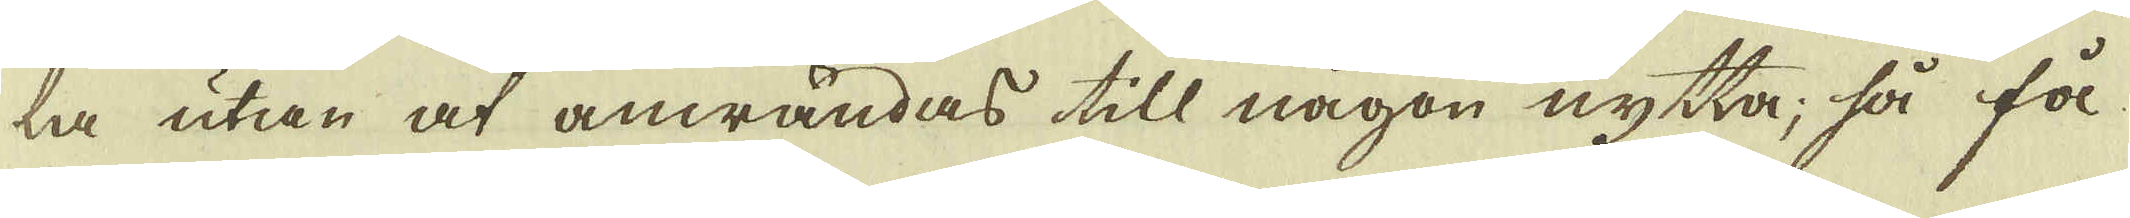la utan at anwändas till någon nytta, så få
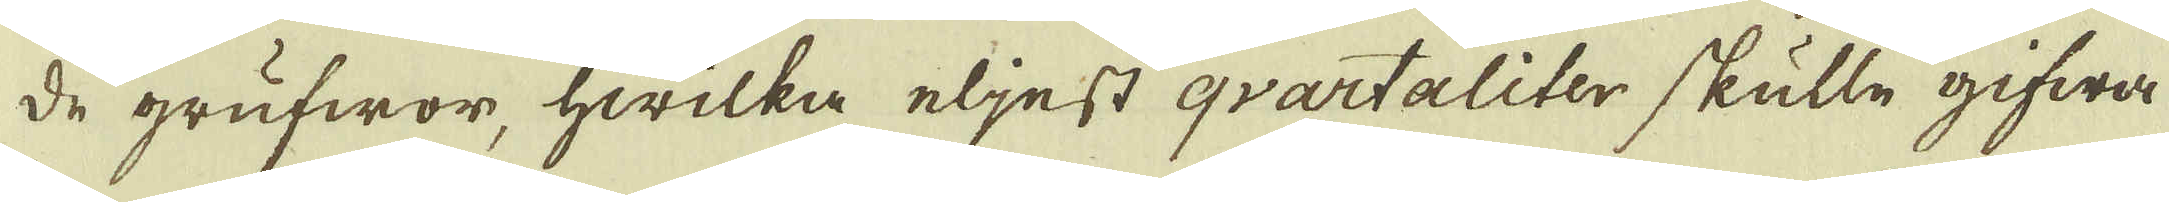de grufwor, hwilka eljest qvartaliter skulle gifwa
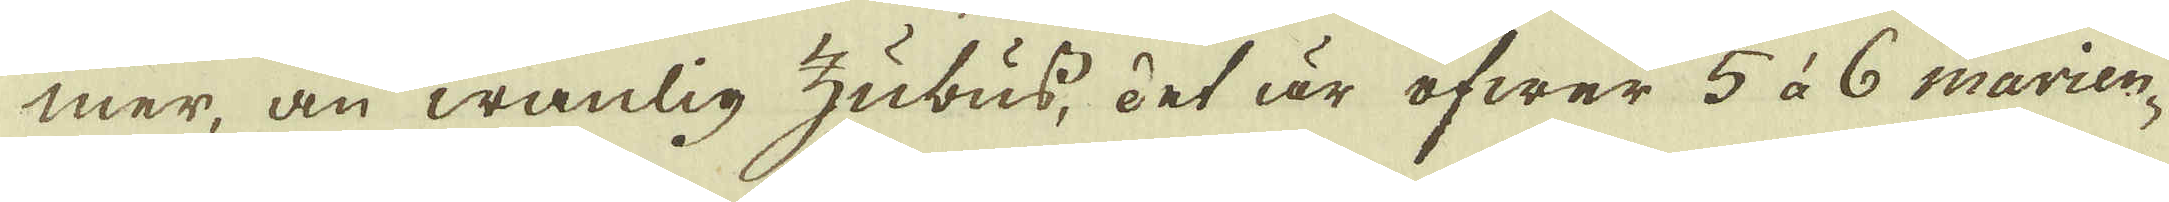mer, än wanlig zubus, det är öfwer 5 à 6 marien-
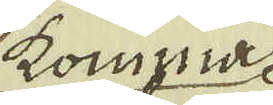komma
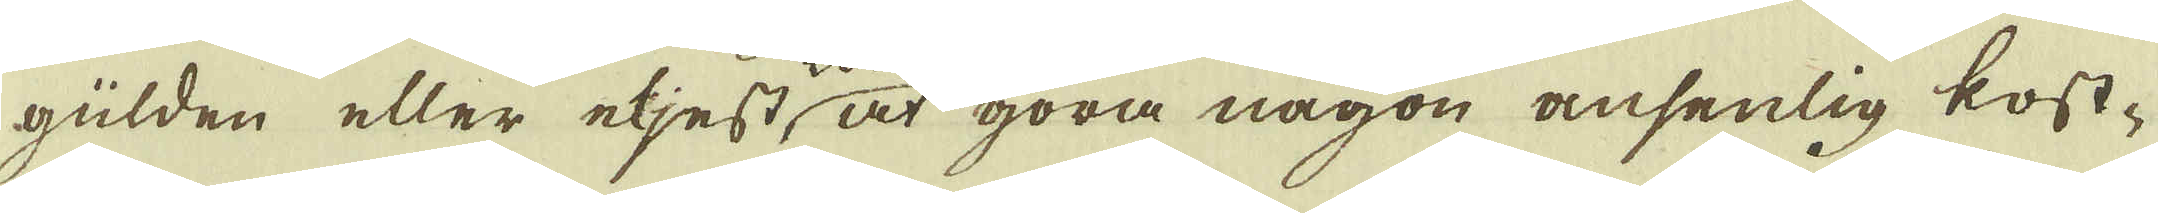gülden eller eljest, at göra någon ansenlig kost-
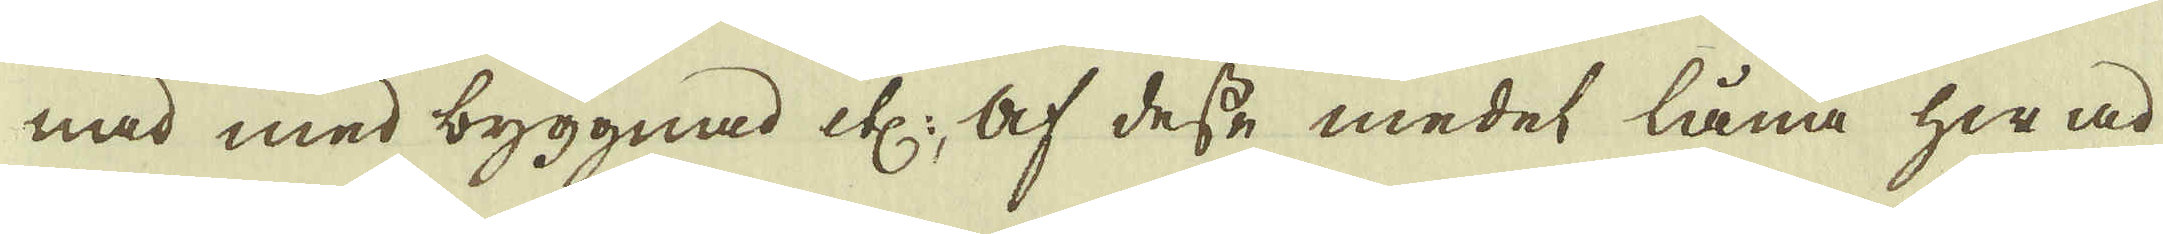nad med byggnad etc:, af desse medel låna hwad
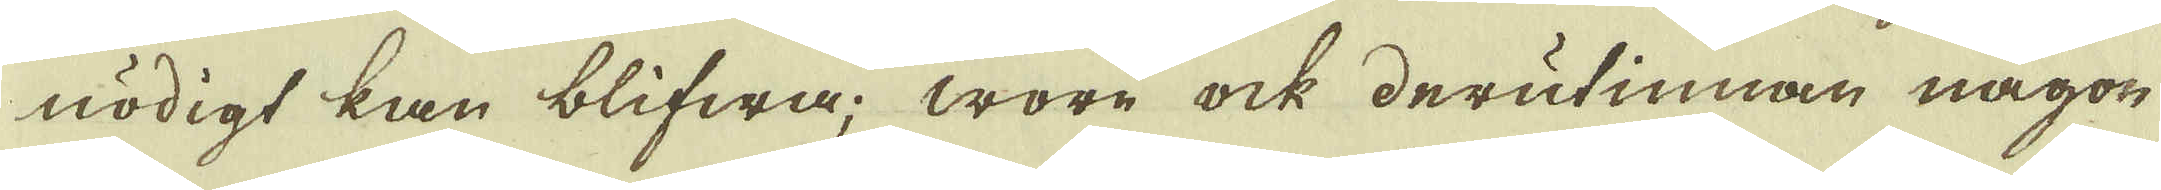nödigt kan blifwa; wore ock derutinnan någon
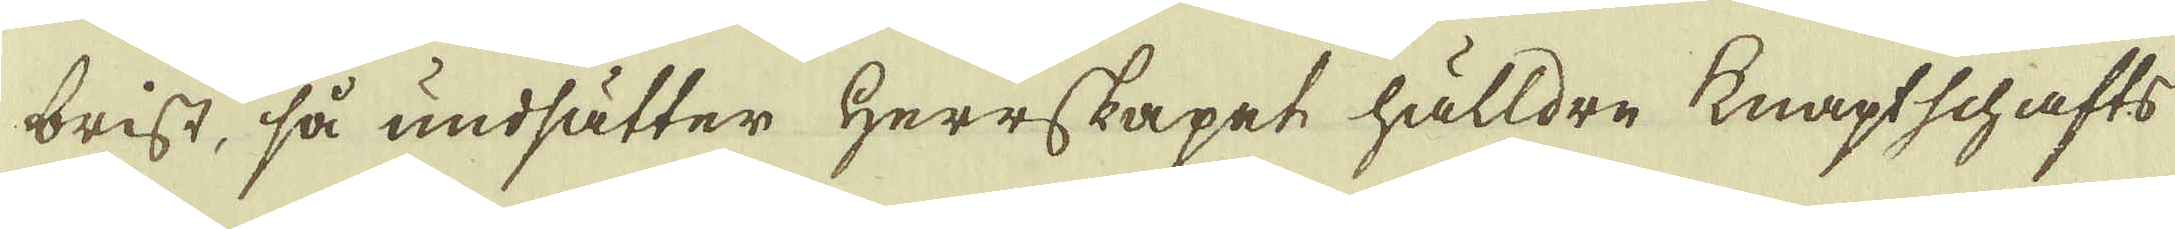brist, så undsätter Herrskapet hälldre knaptschafts
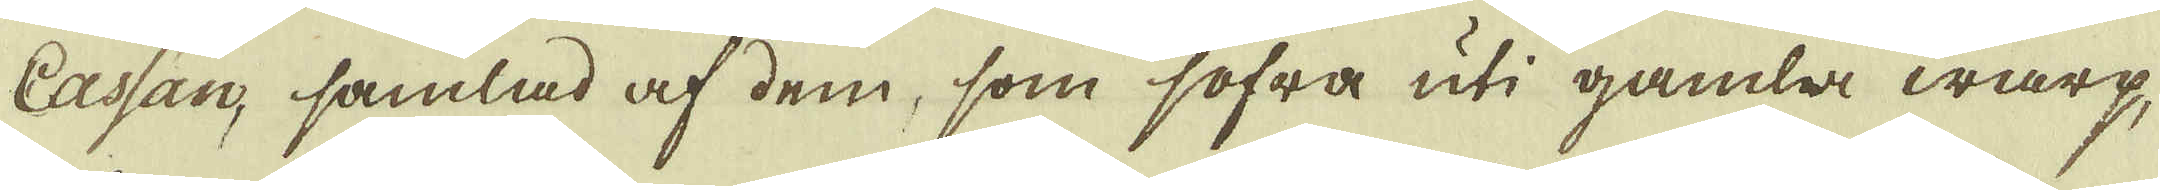Cassan, samlad af dem, som sofra uti gamla warp,
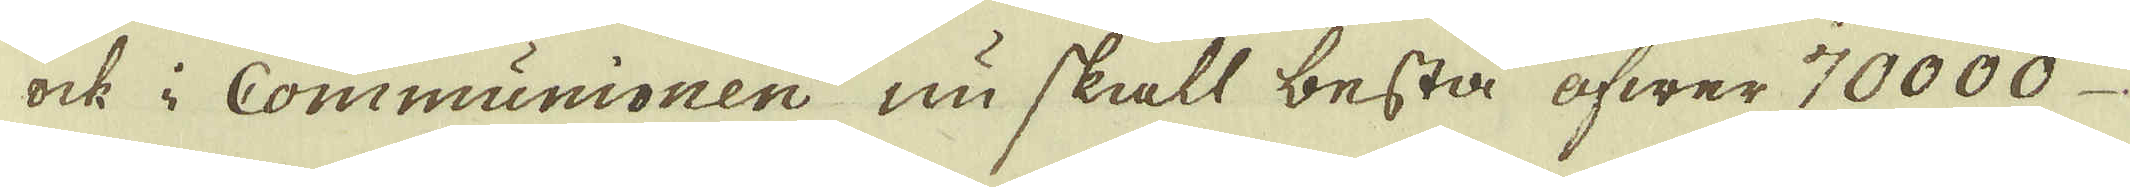ock i Communionen nu skall bestå öfwer 70000
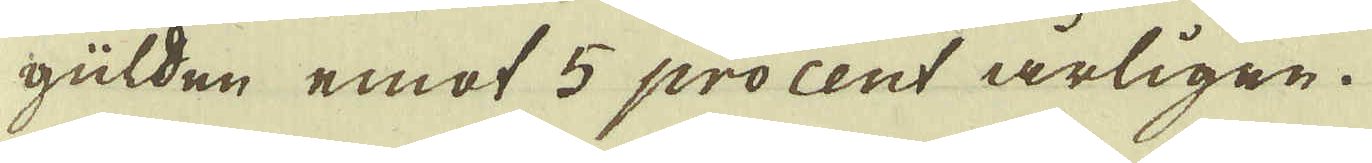gülden emot 5 procent årligen.
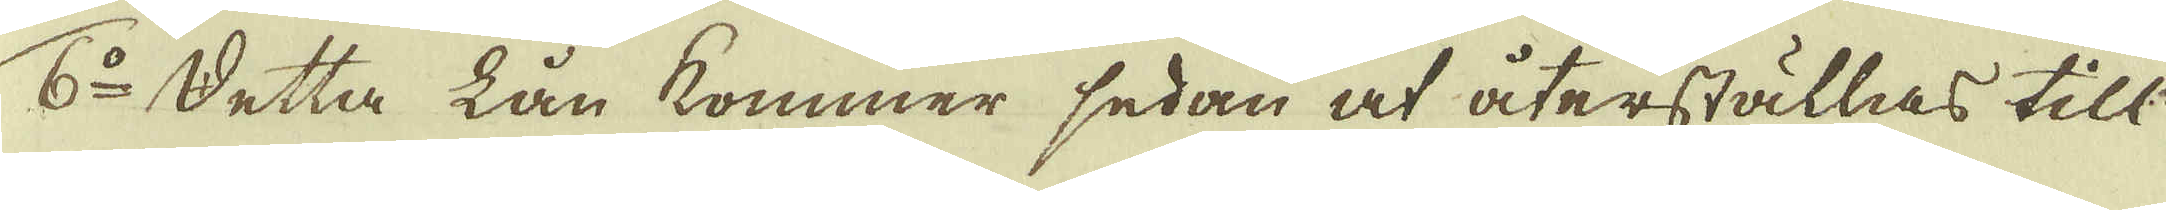6:o Detta lån kommer sedan at återställas till
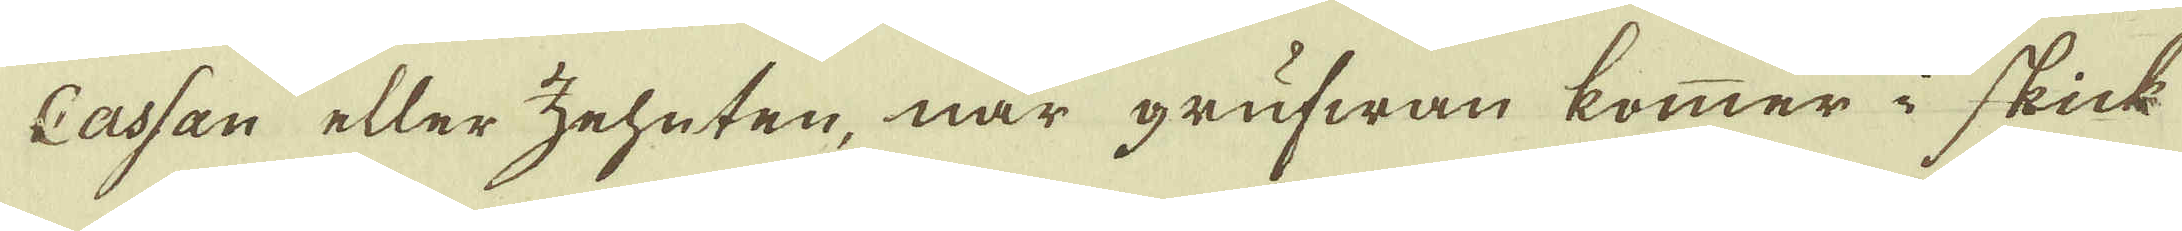casan eller zeheten, när grufwan kommer i skick
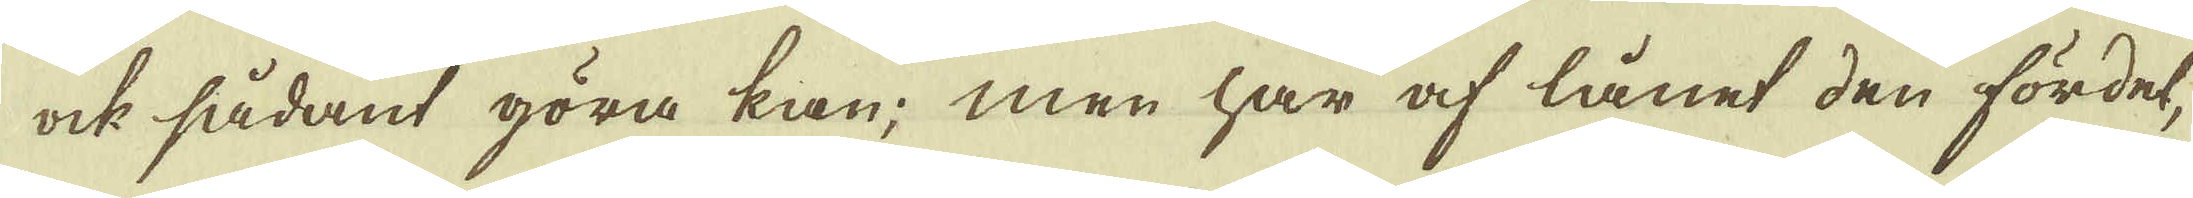ock sådant göra kan; men har af lånet den fördel
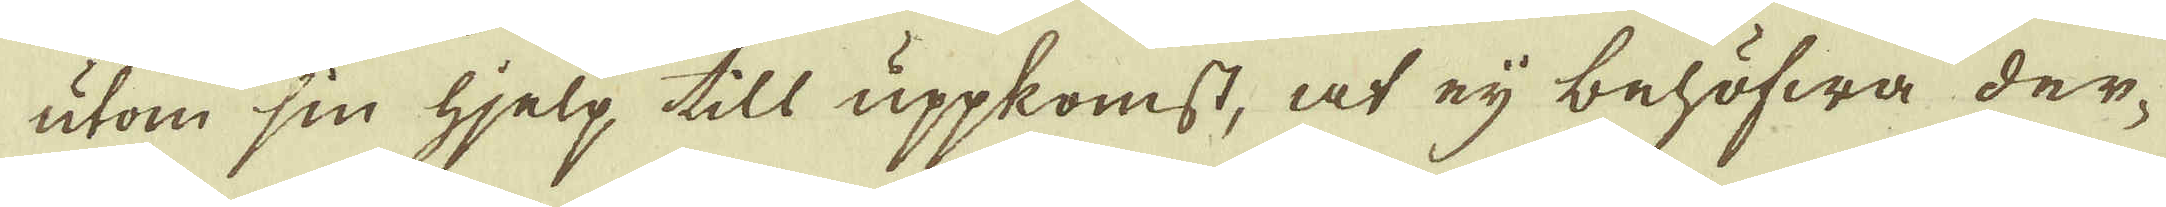utom sin hjelp till uppkomst, at ej behöfwa der-
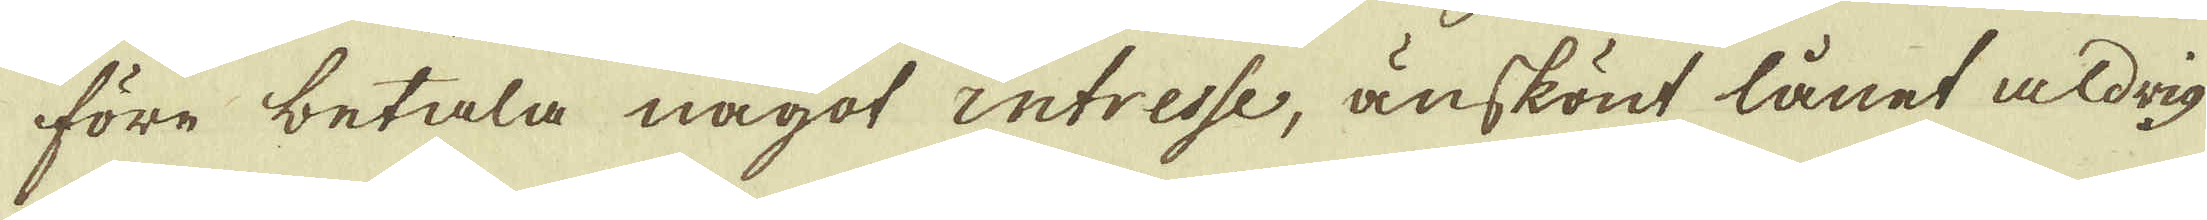före betala något intresse, änskönt lånet aldrig
